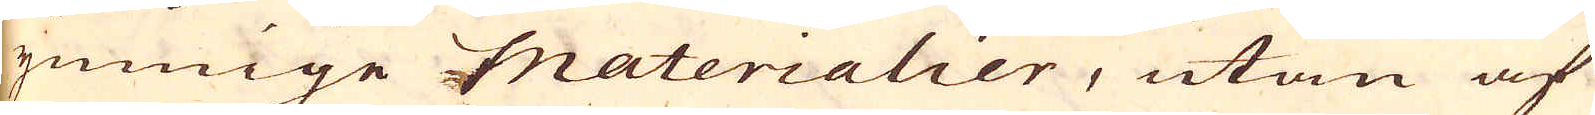ymnige Materialier, utan af
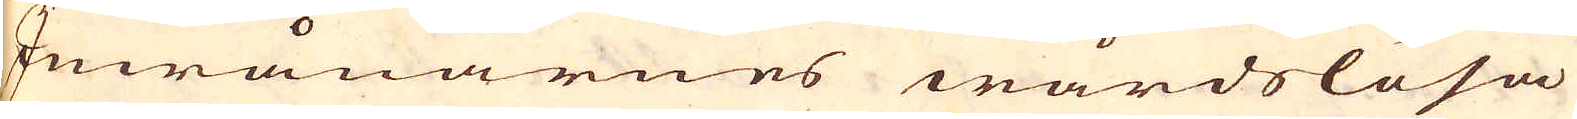Inwånarnes wårdslösa
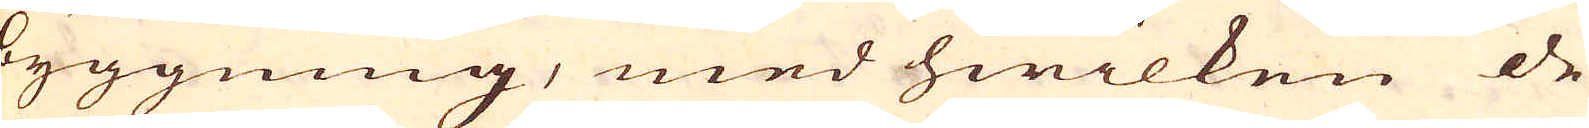byggning, med hwilken de
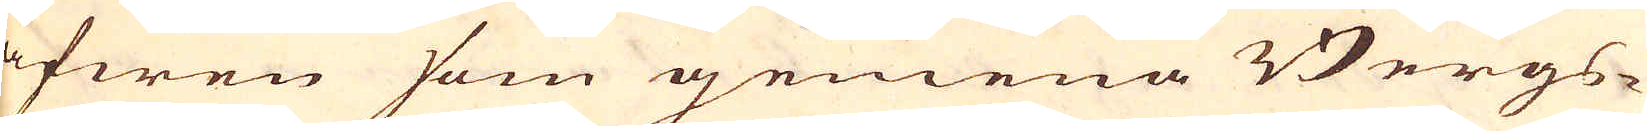äfwen som gemena Bergs-
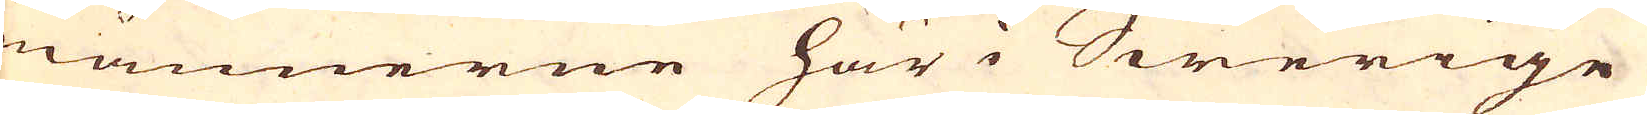männerne här i Swerige
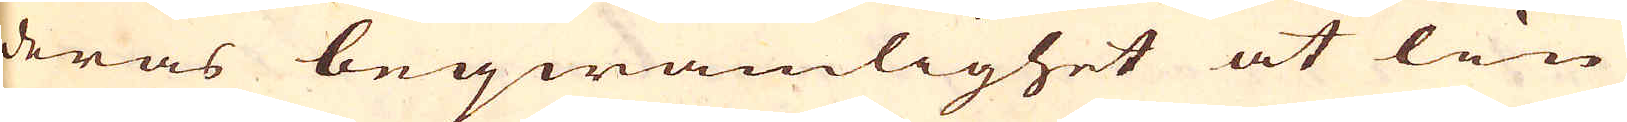deras beqwämlighet at lin-
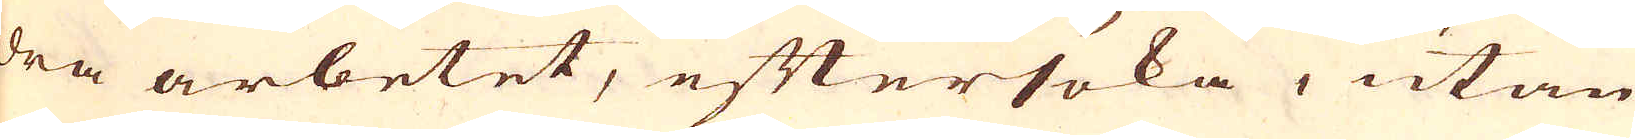dra arbetet, eftersöka, utan
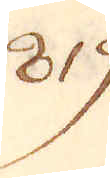819.
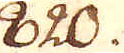820.
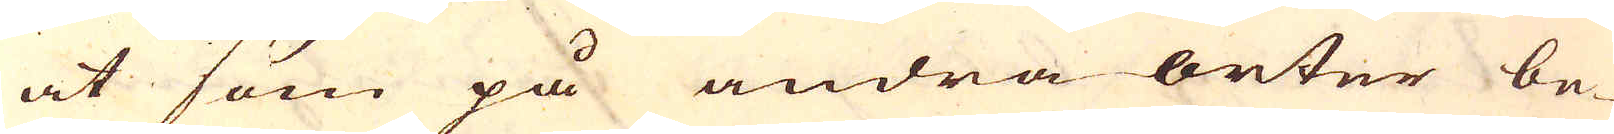at som på andra orter be-
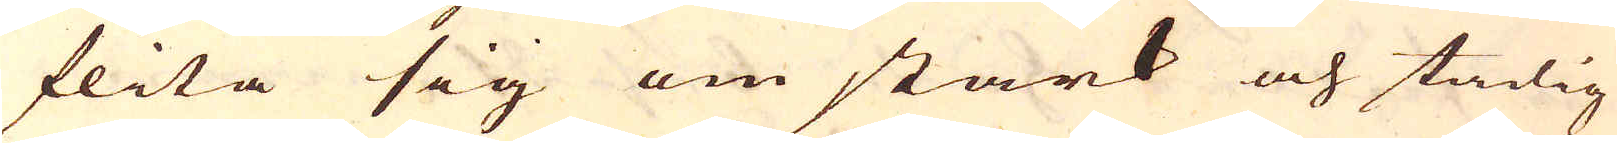flita sig om stark och stadig
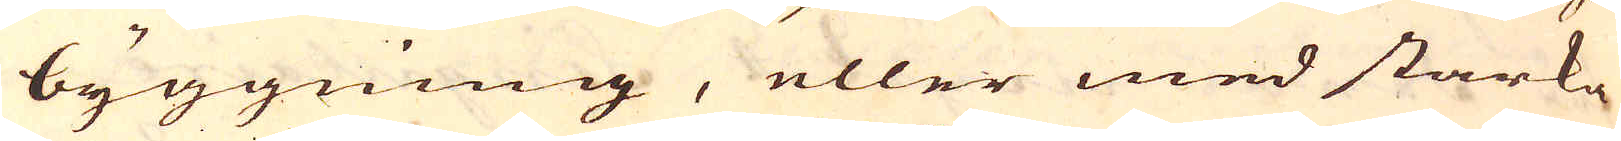byggning, eller med starka
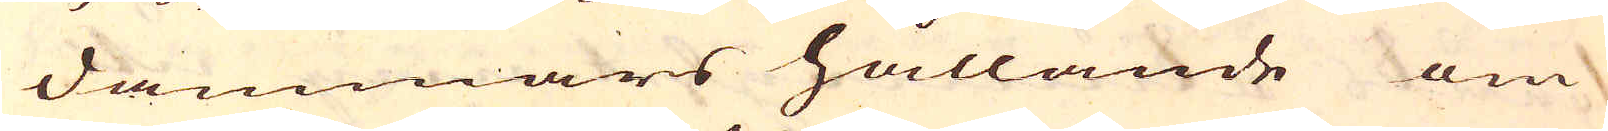dammars hållande om
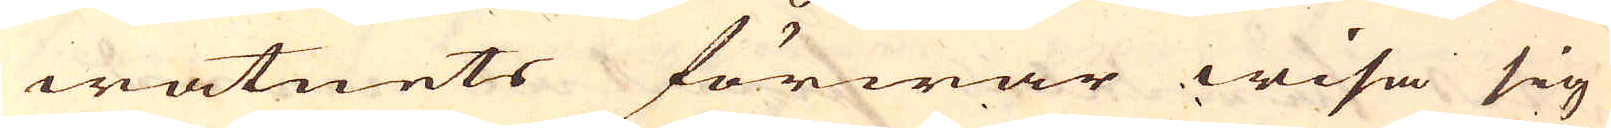watnets förwar wisa sig
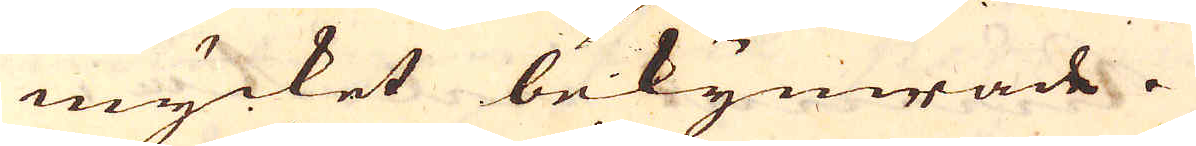mycket bekymrade.
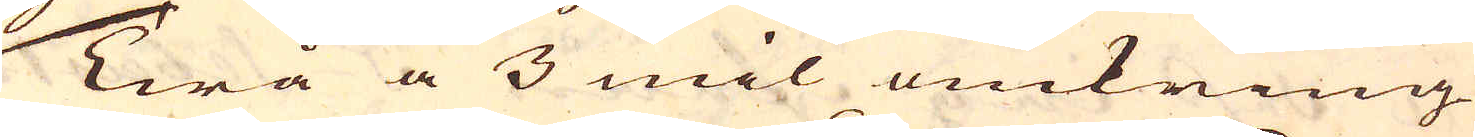Twå a 3 mil omkring
